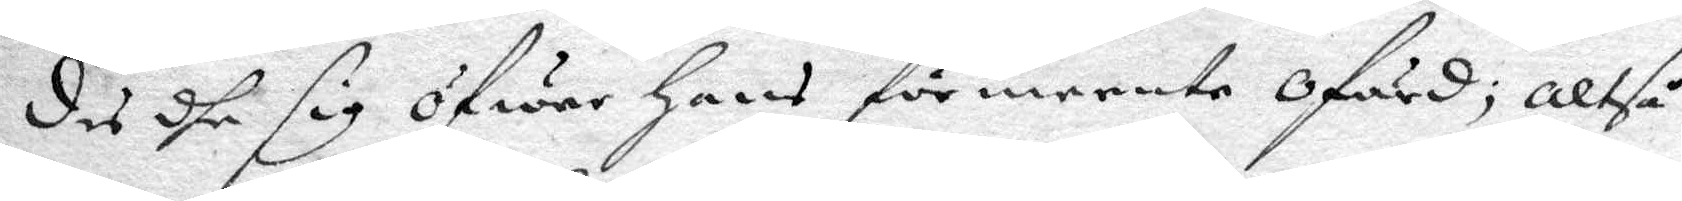des dhe sig öfwer hans förmeente ofärd, altså
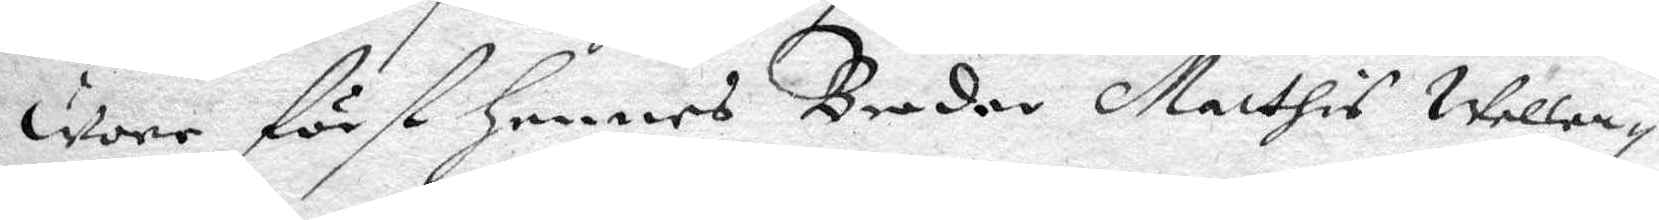wore först hennes Broder Mathis Wellen¬
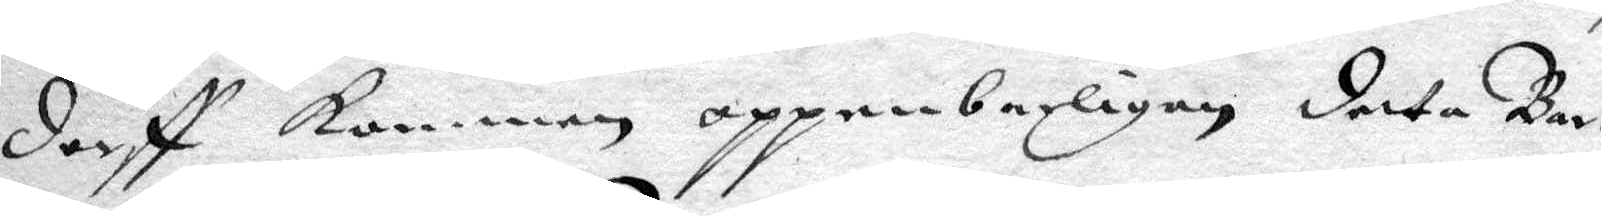dorff kommen oppenbarligen detta Bar¬
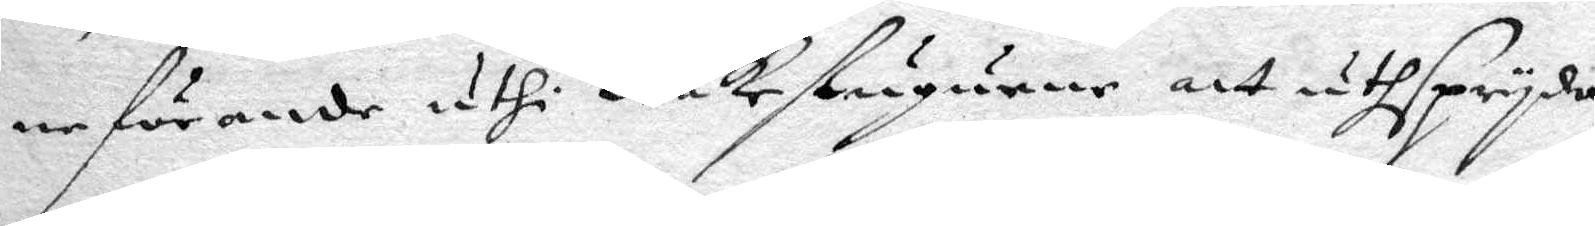neförande uthi Wakestugurne att uthspryda,
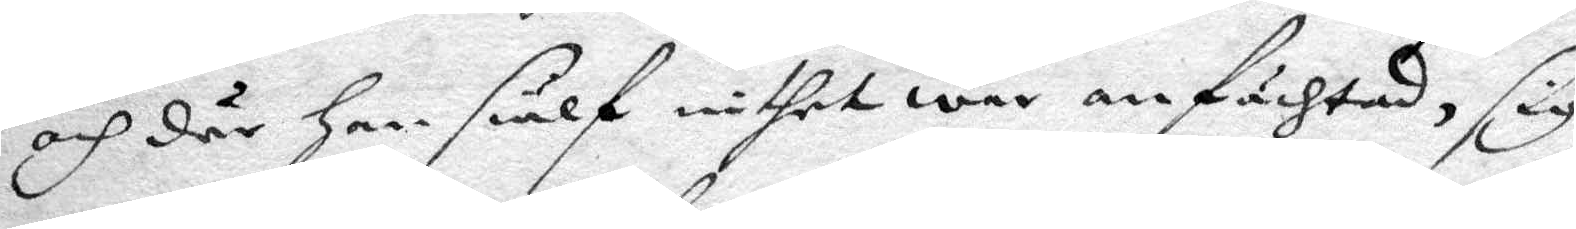och dr han siälf inthet war anfächtad, sig
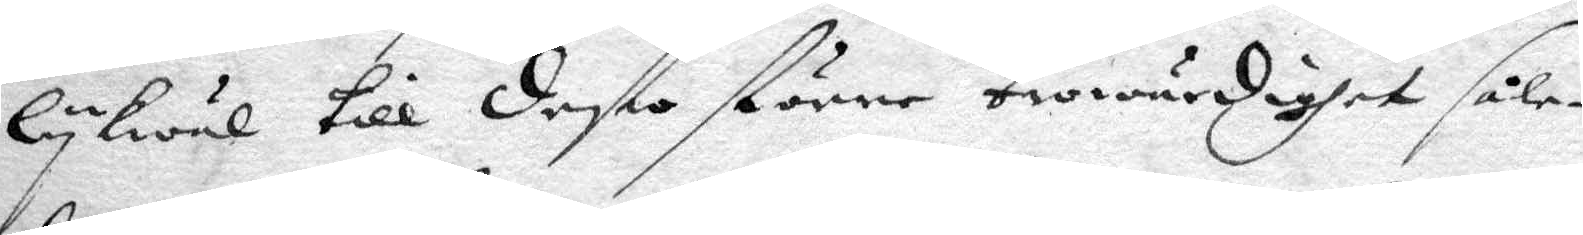lykwäl till desto större trowärighet såle¬
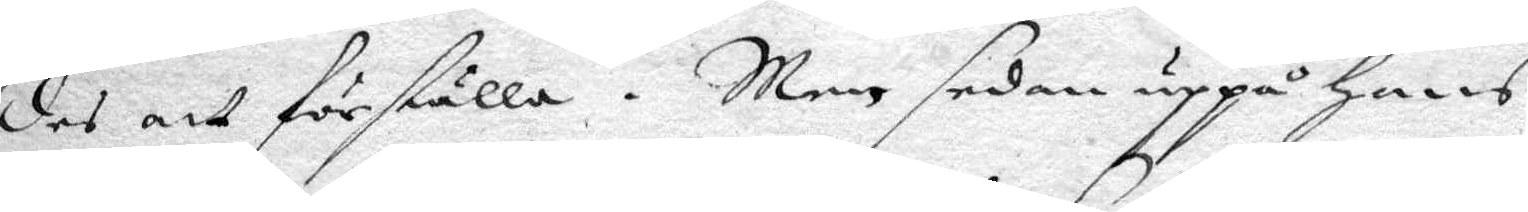des att förställa. Men sedan uppå hans,
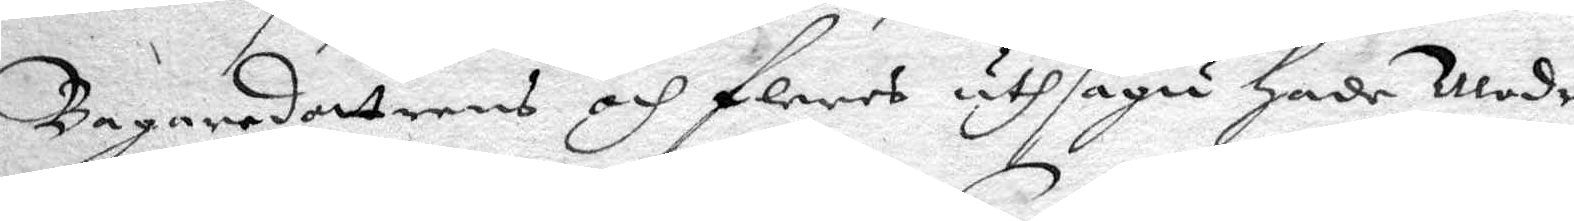Bagaredottrens och fleres uthsagu hade Modren
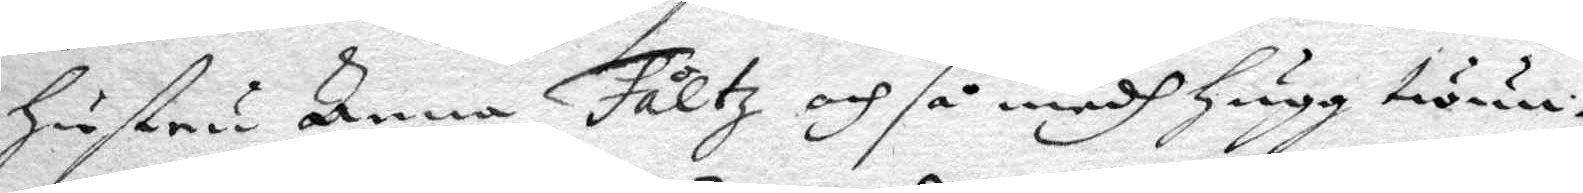hustru Anna Fåltz och så medh hugg twun¬
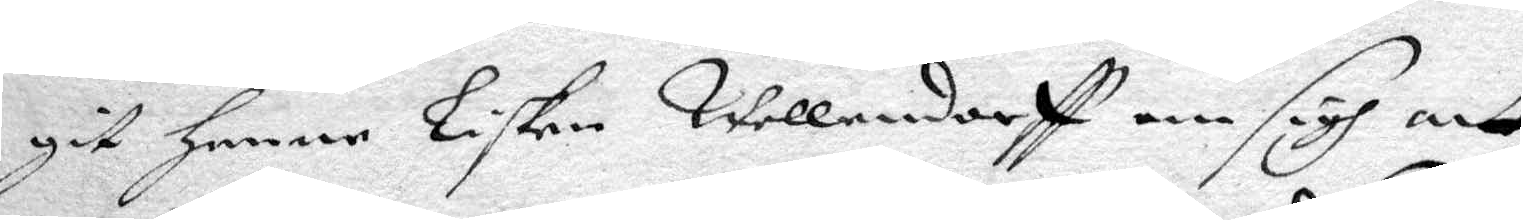git henne Lisken Wellendorff om sigh att
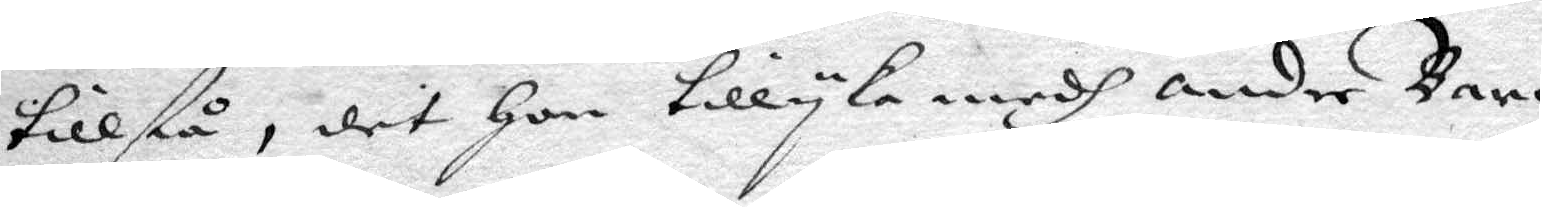tillstå, det hon tillyka medh andre Barn
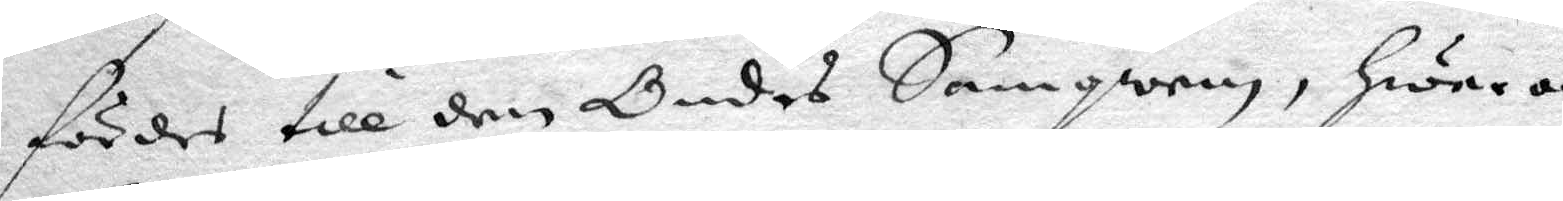fördes till den Ondes Samqwem, hwar om
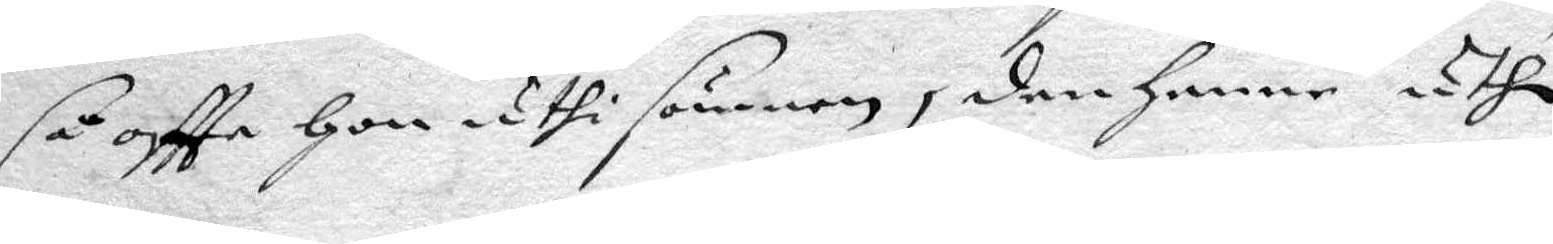så oftta hon uthi sömnen, den henne uthi
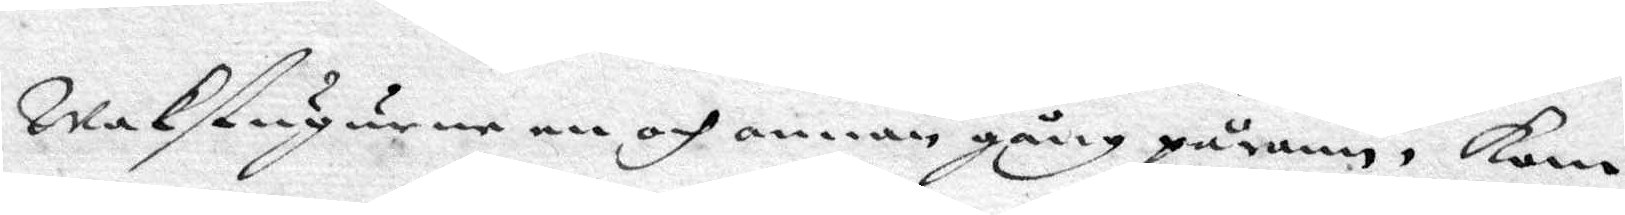Wakstugurne en och annan gång pårann, kom
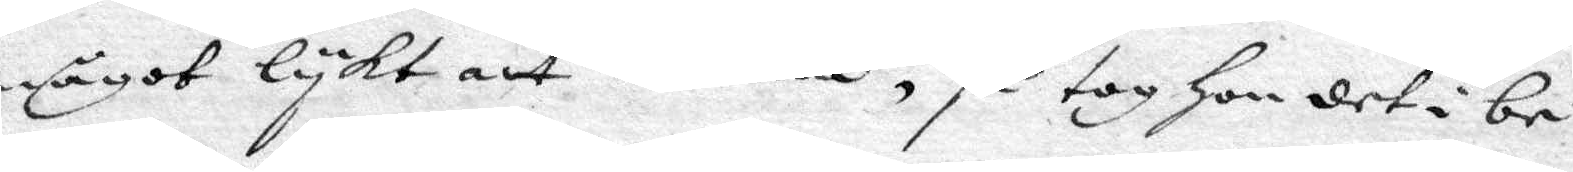något lykt att dröma, så tog hon det i be¬
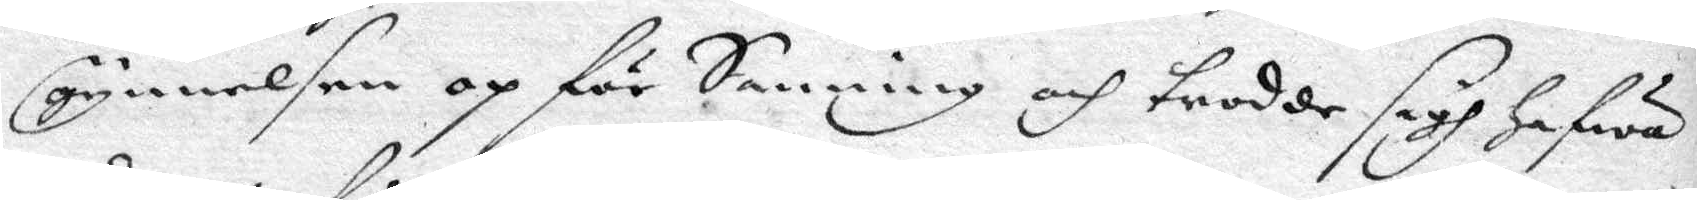gynnelsen op för Sanning och trodde sigh hafwa
